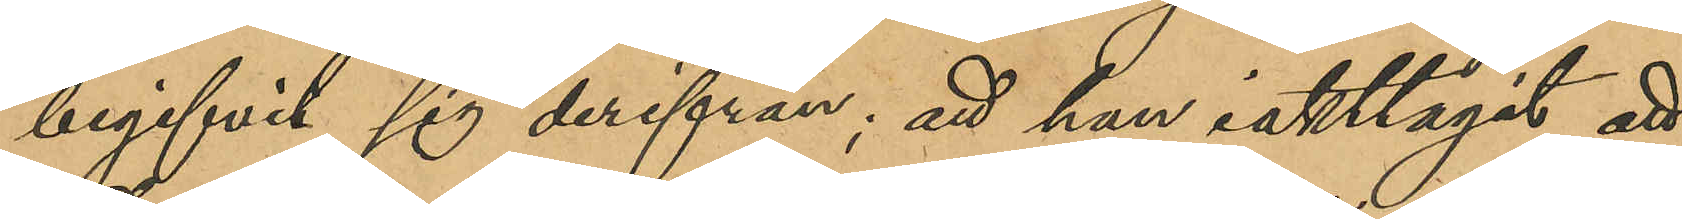begifvit sig derifrån; att han iakttagit att
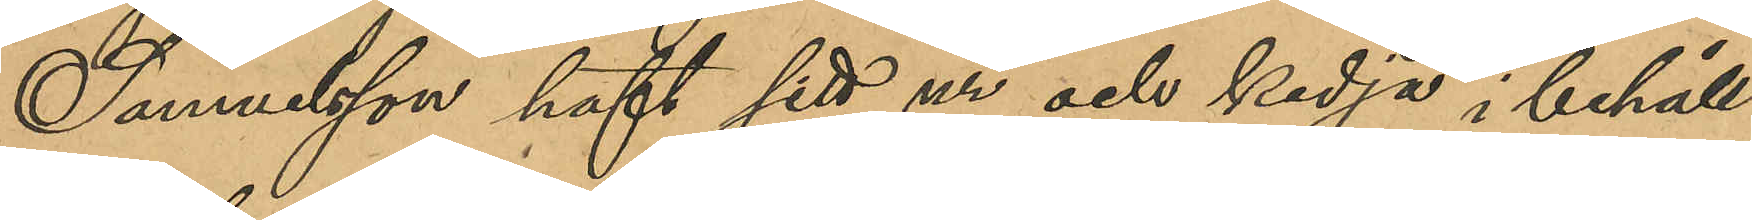Samuelsson haft sitt ur och kedja i behåll
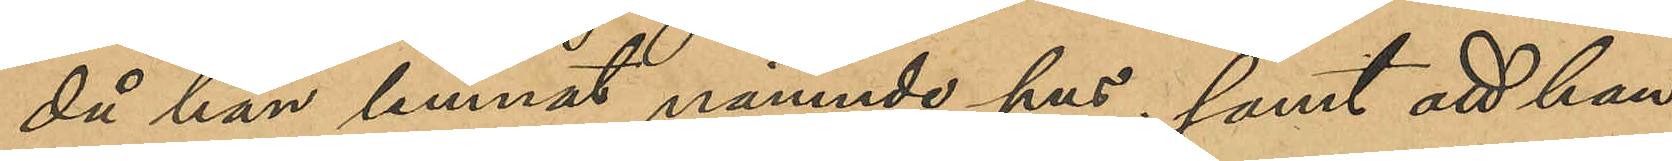då han lemnat nämnde hus; att han
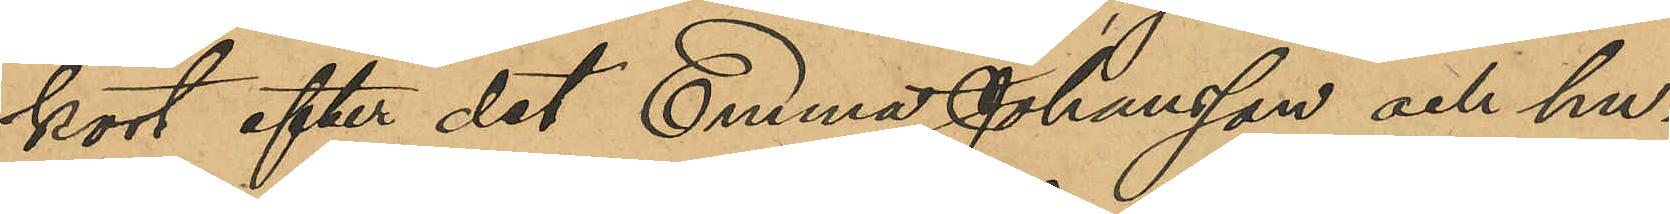kort efter det Emma Johansson och hu¬
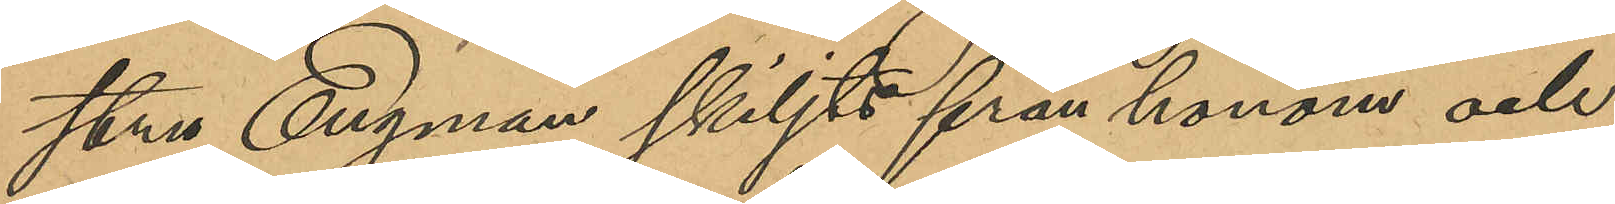stru Engman skiljts från honom och
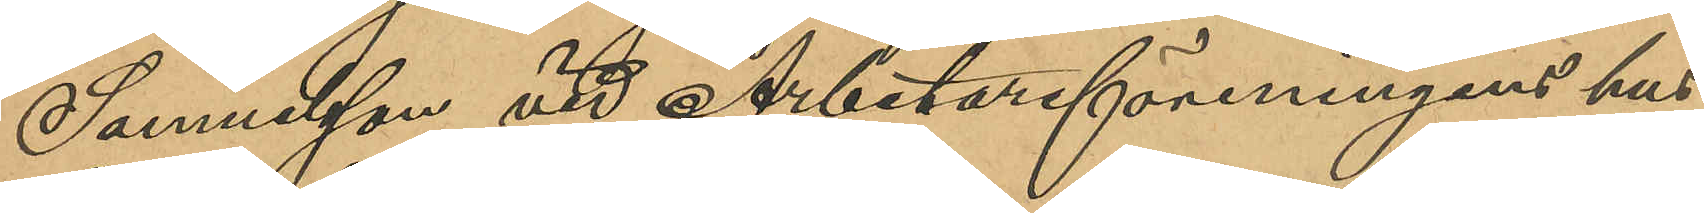Samuelsson vid Arbetarföreningens hus
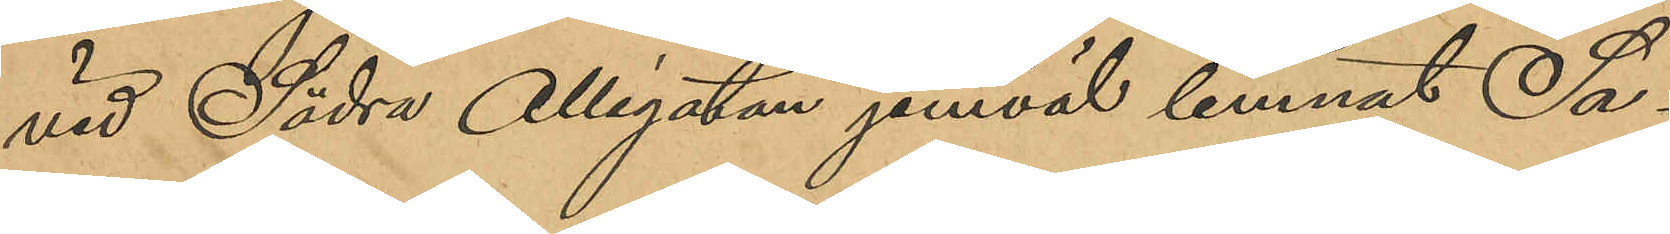vid Södra Allégatan jemväl lemnat Sa¬
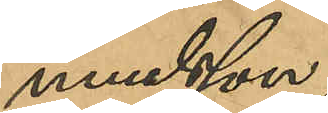muelsson;
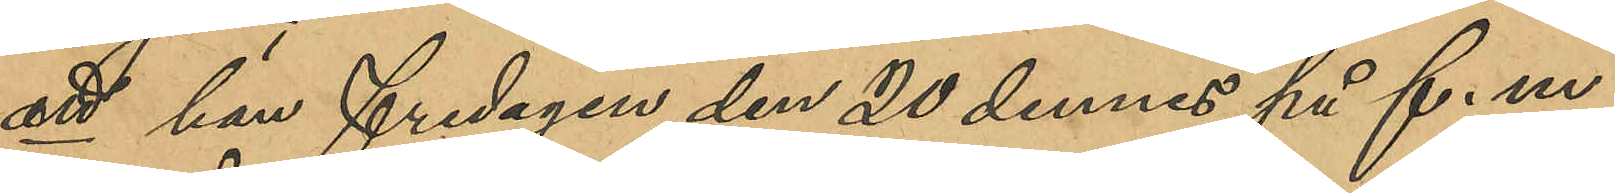att han fredagen den 20 dennes på f. m.
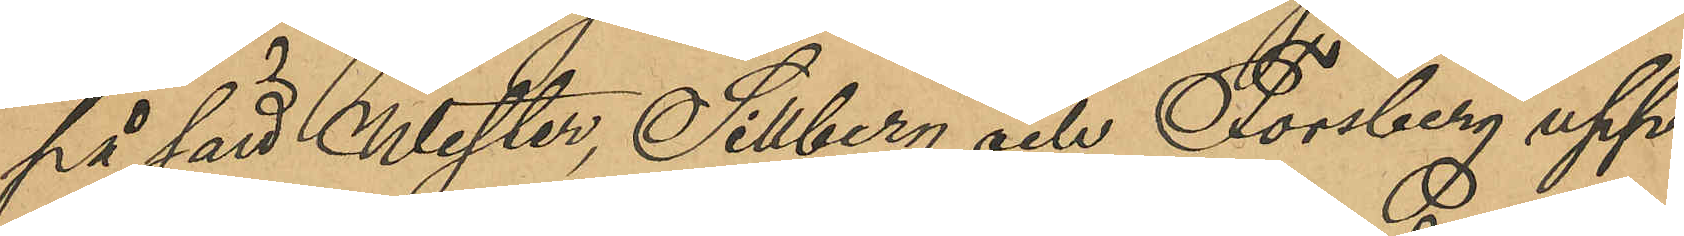på sätt Wester, Sillberg och Forsberg upp¬
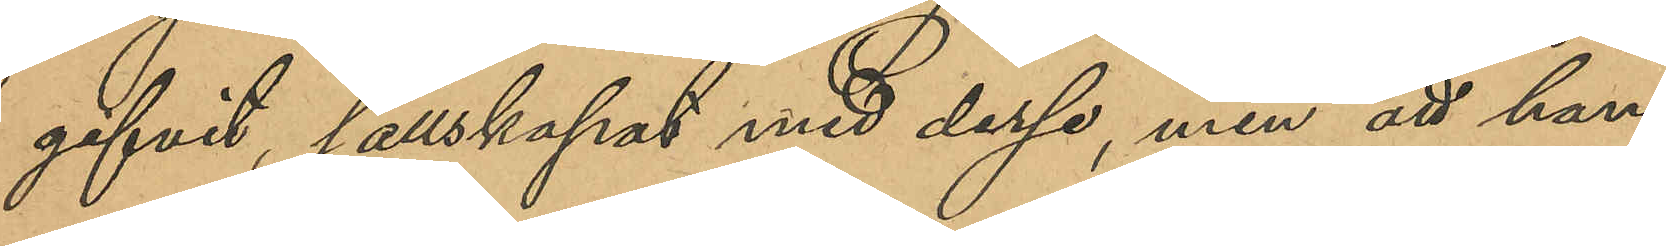gifvit, sällskapat med desse, men att han
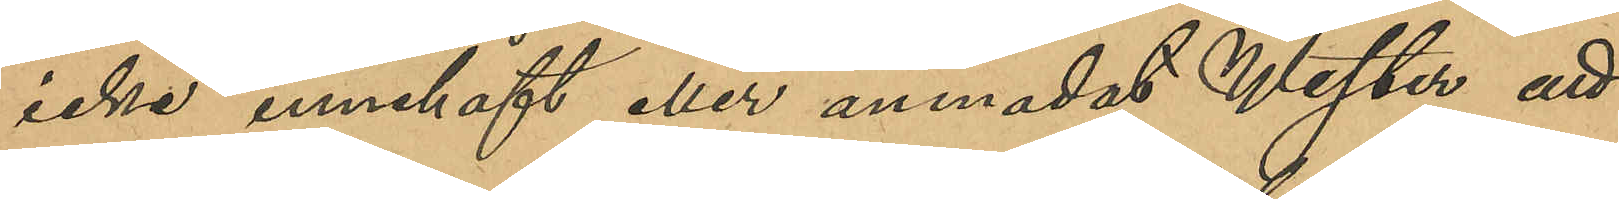icke innehaft eller anmodat Wester att
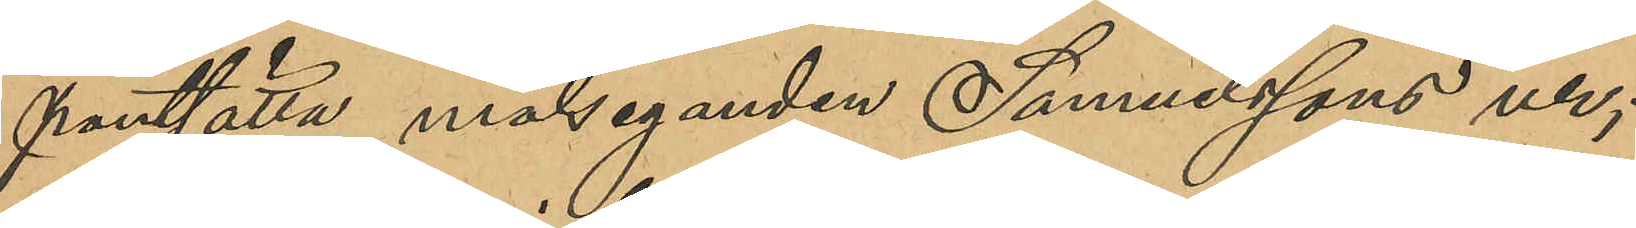pantsätta målseganden Samuelssons ur;
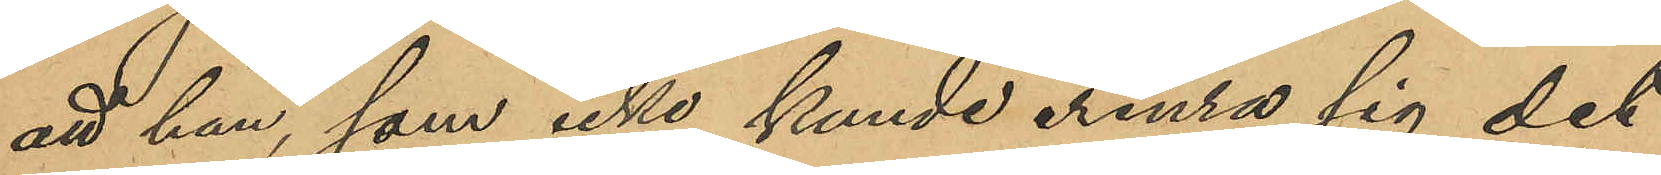att han, som icke kunde erinra sig det
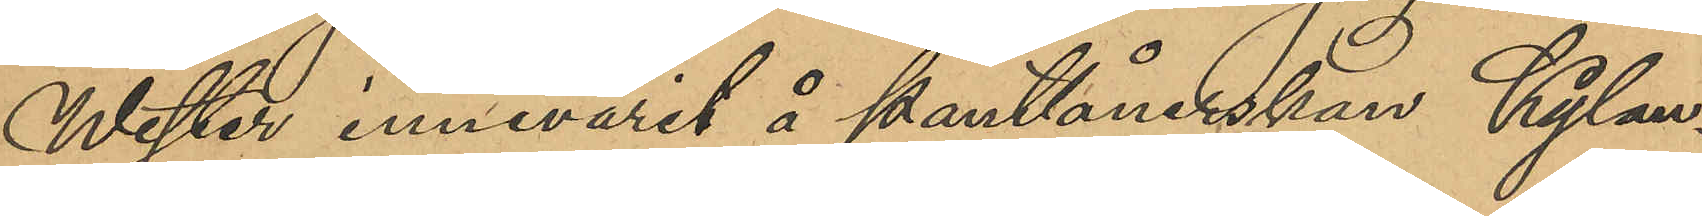Wester innevarit å pantlånerskan Kylan¬
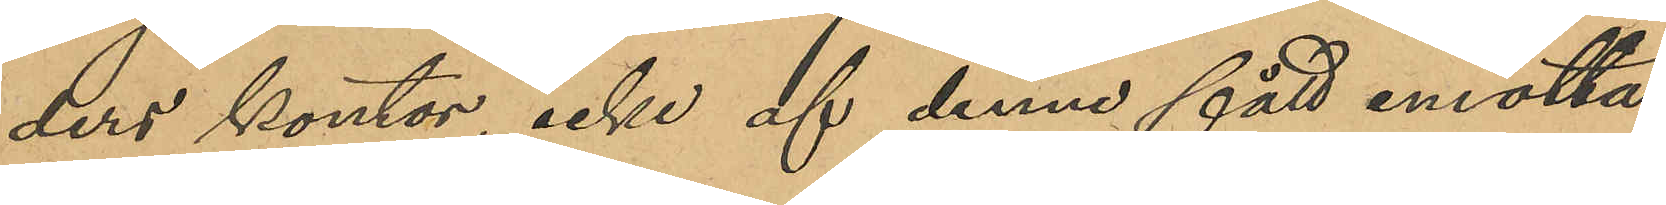ders kontor, icke af denne fått motta¬
